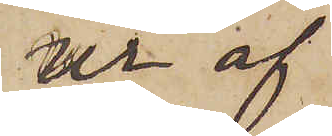ur af
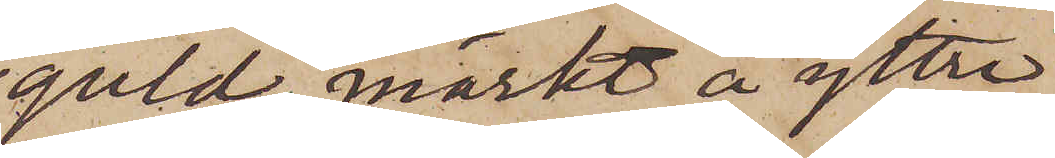guld, märkt å yttre
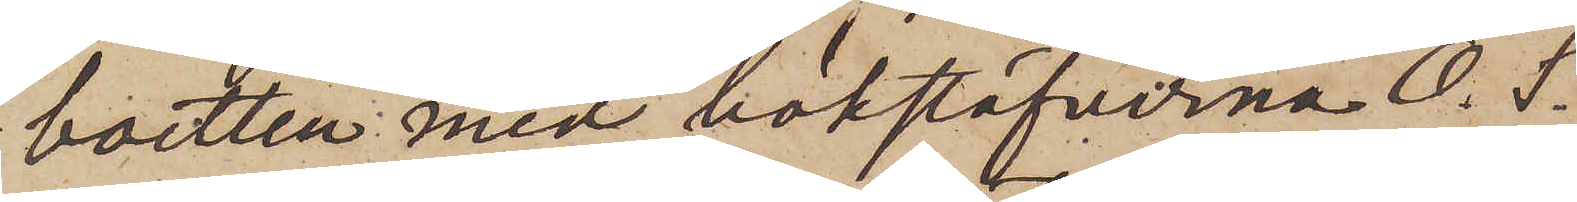boetten med bokstäfverna O. S.
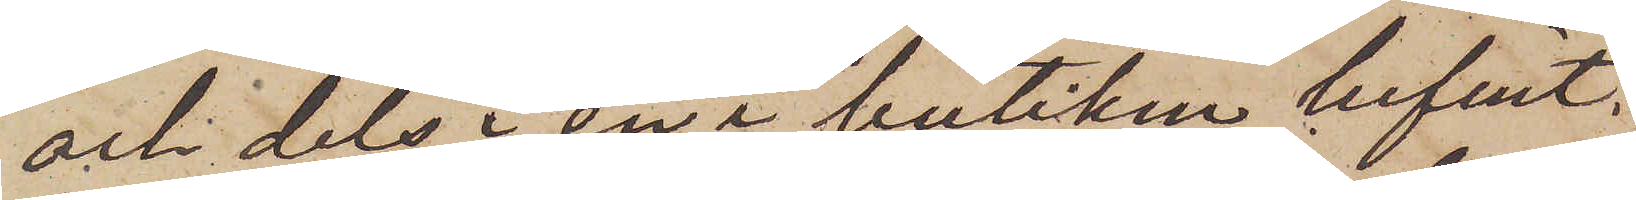och dels i en i butiken befint¬
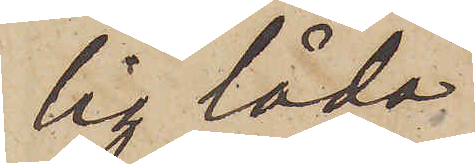lig låda
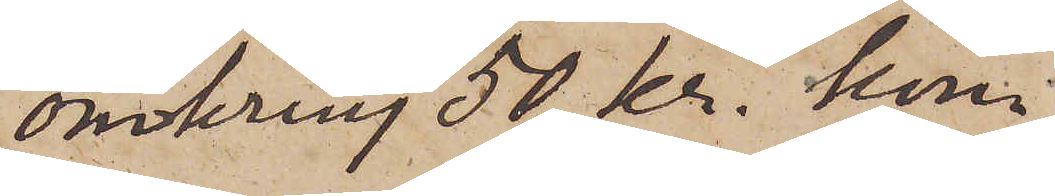omkring 50 kr. kon¬
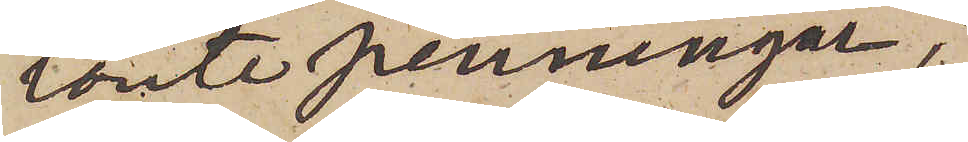tante penningar;
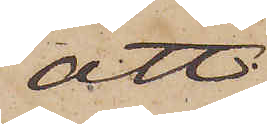att
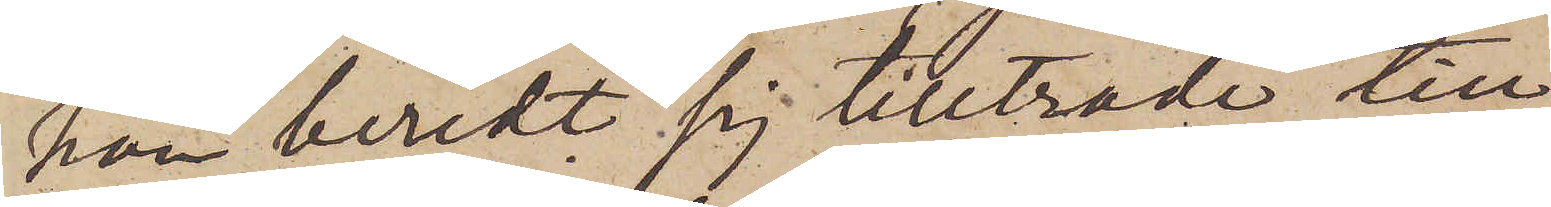han beredt sig tillträde till
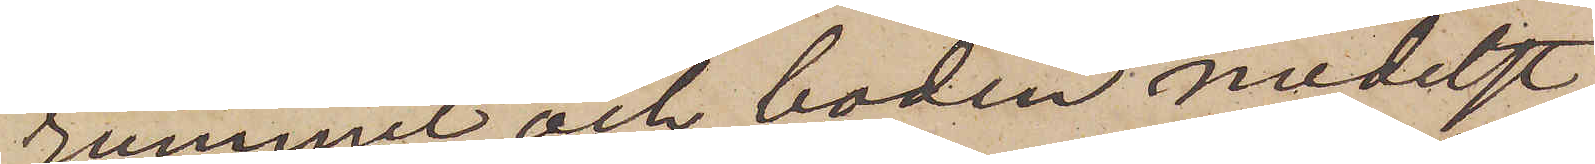rummet och boden medelst
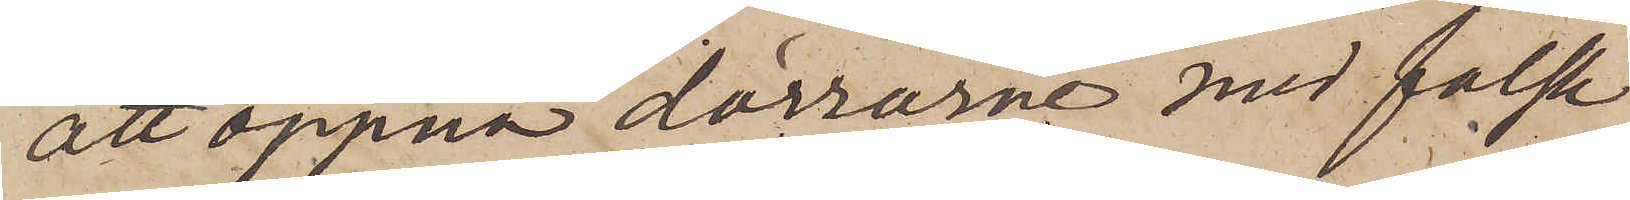att öppna dörrarne med falsk
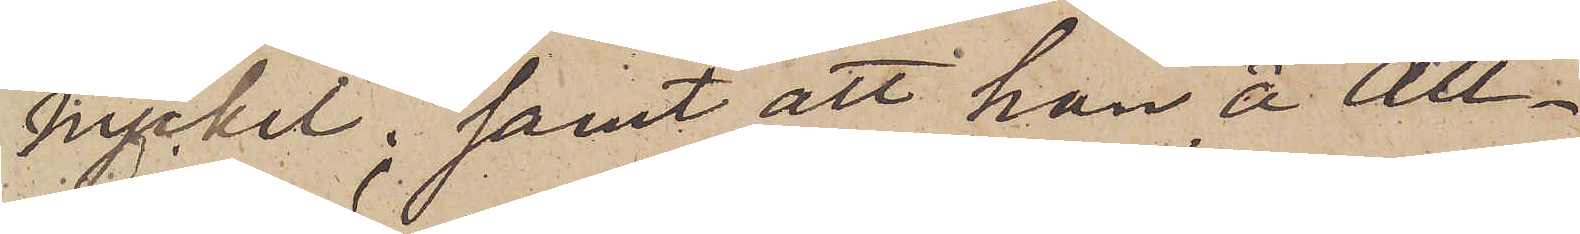nyckel; samt att han å all¬
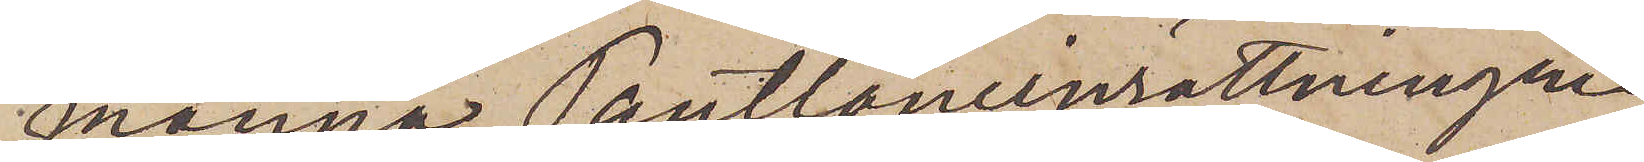männa Pantlåneinrättningen
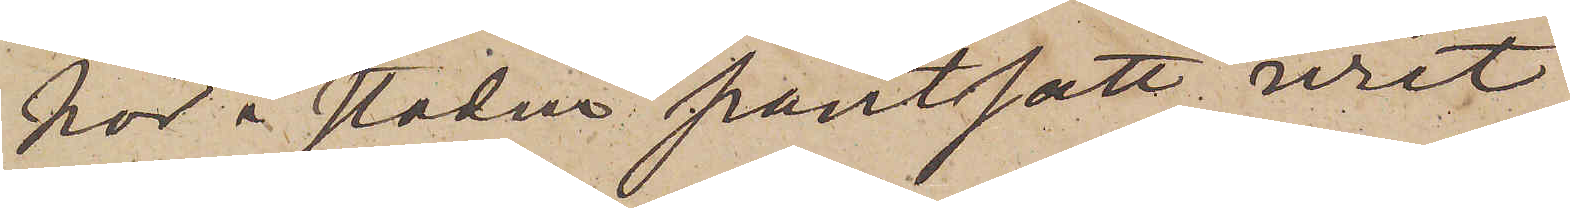här i staden pantsatt uret
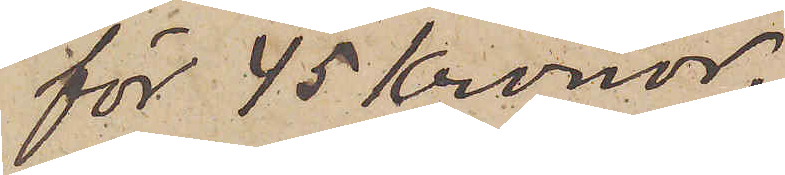för 45 Kronor.
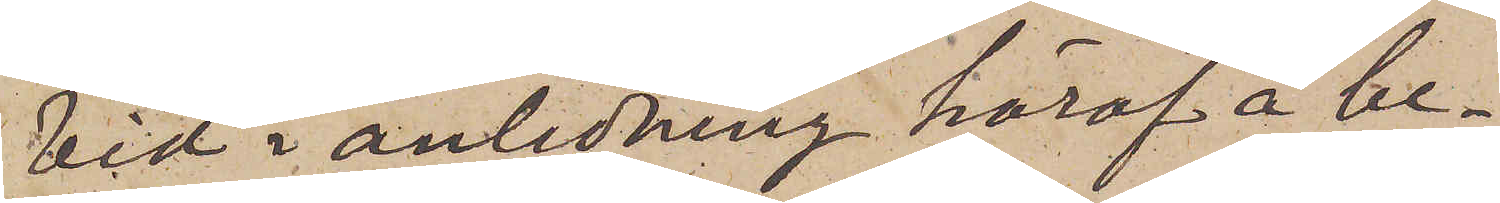Vid i anledning häraf å be¬
